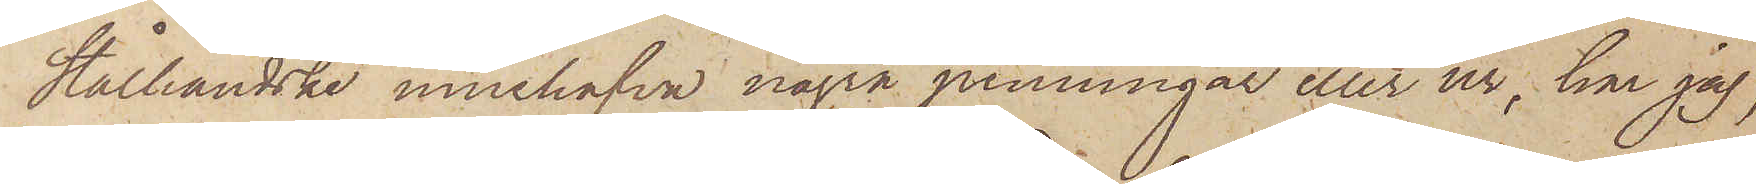Stålhandske innehafva några penningar eller ur, har jag,
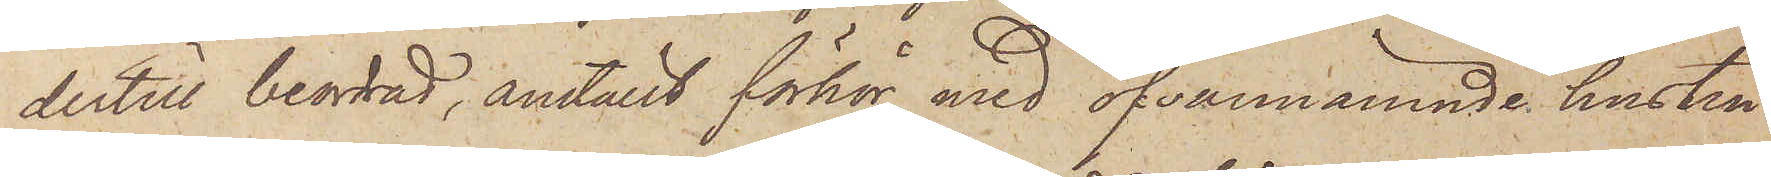dertill beordrad, anställt förhör med ofvannämnde hustru
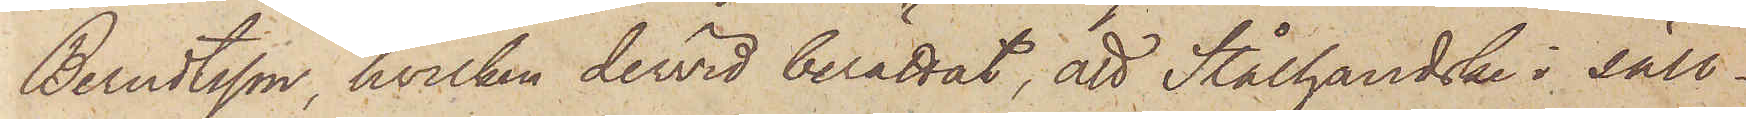Berndtsson, hvilken dervid berättat, att Stålhandske i säll¬
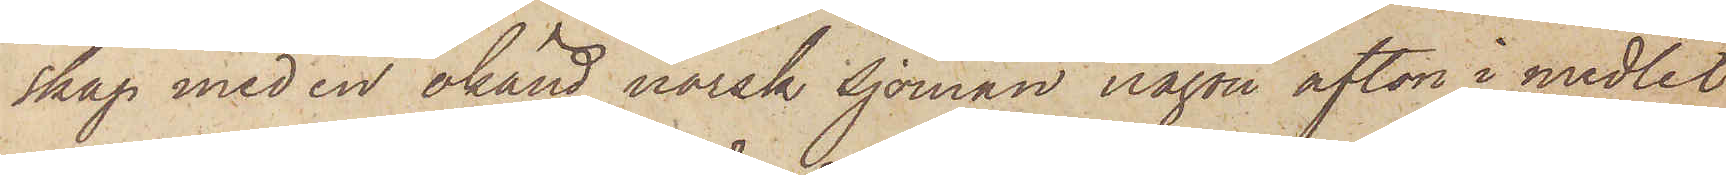skap med en okänd norsk sjöman någon afton i medlet
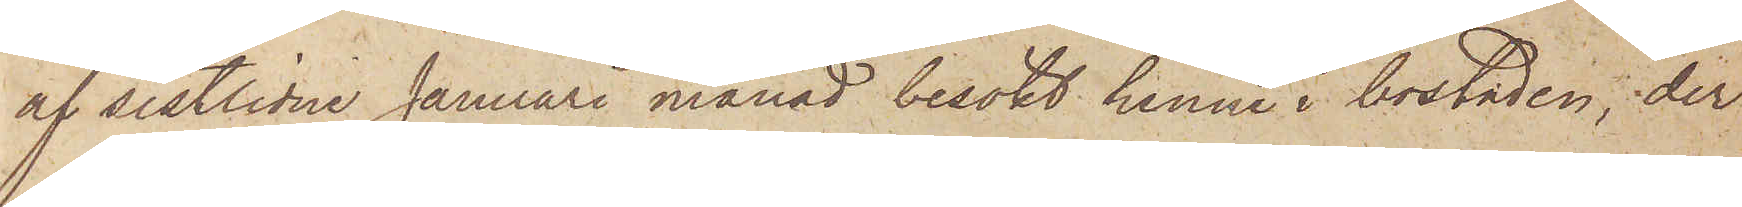af sistlidne Januari månad besökt henne i bostaden, der
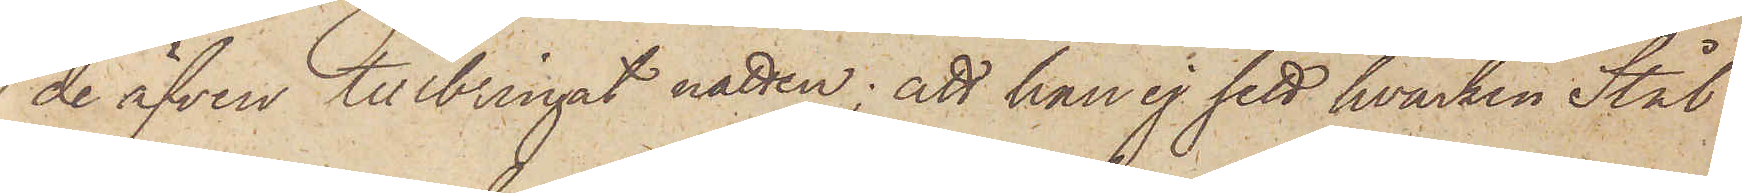de äfven tillbringat natten; att han ej sett hvarken Stål¬
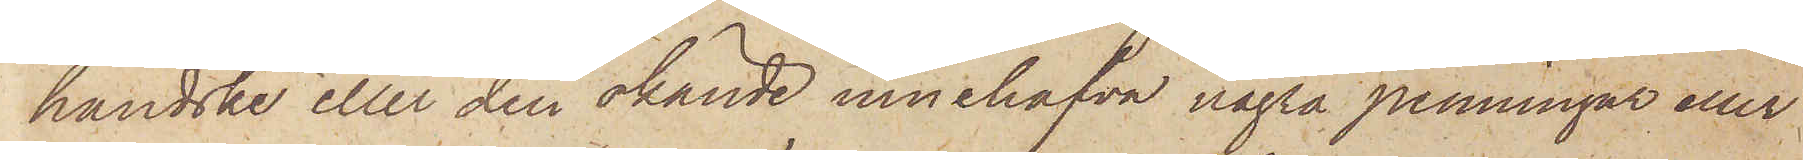handske eller den okände innehafva några penningar eller
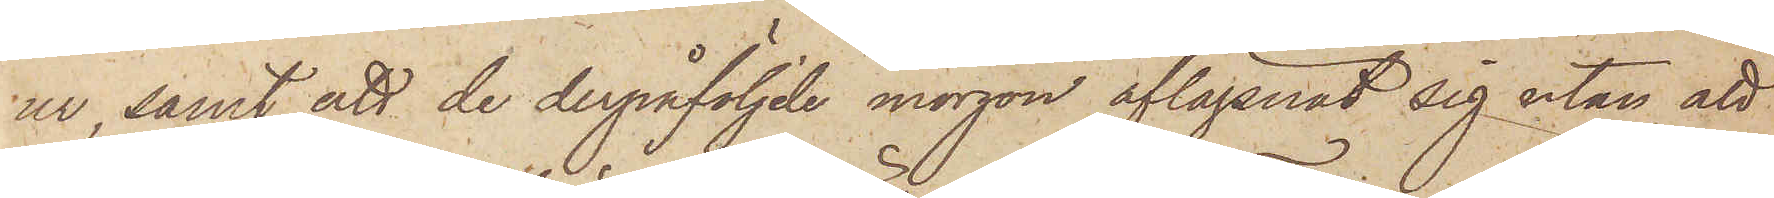ur, samt att de derpåföljde morgon aflägsnat sig utan att
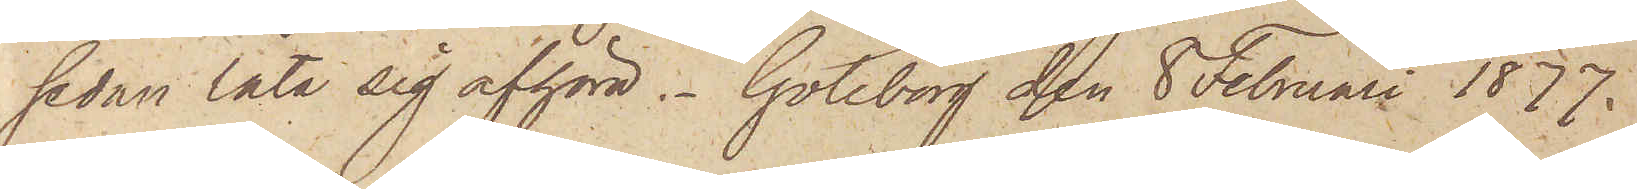sedan låta sig afhöra. Göteborg den 8 Februari 1877.
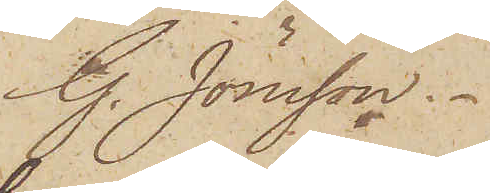G. Jönsson.
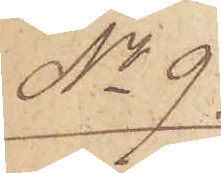No 9.
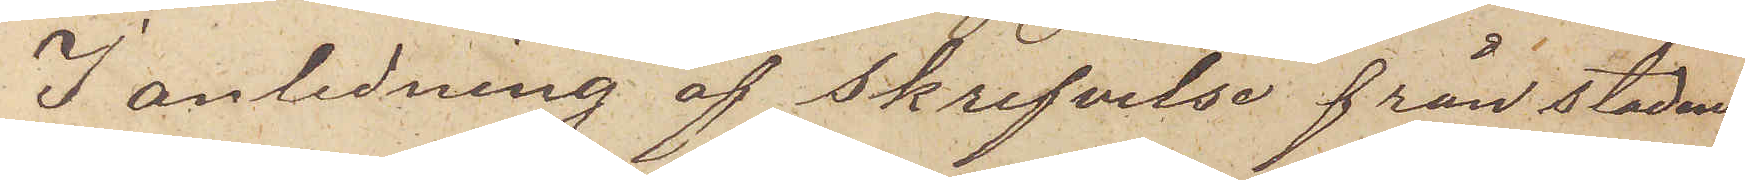I anledning af skrifvelse från stadens
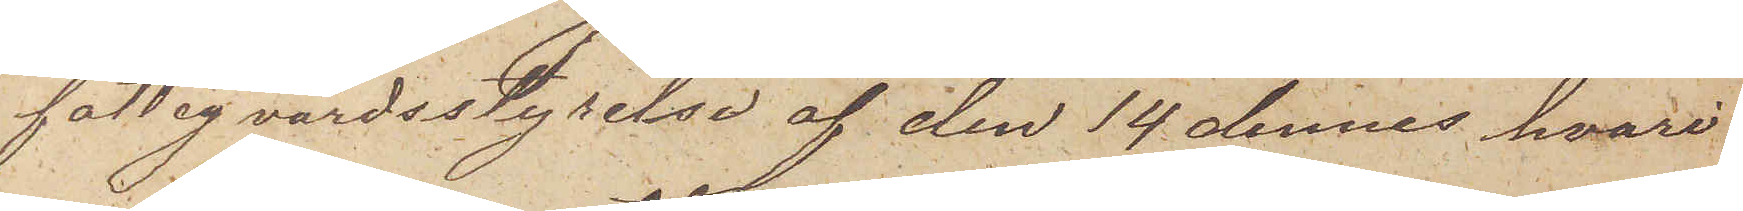fattigvårdsstyrelse af den 14 dennes hvari
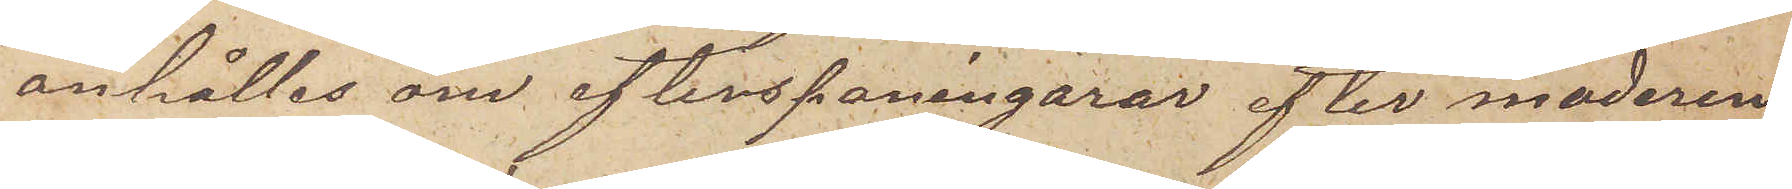anhålles om efterspaningarar efter moderen
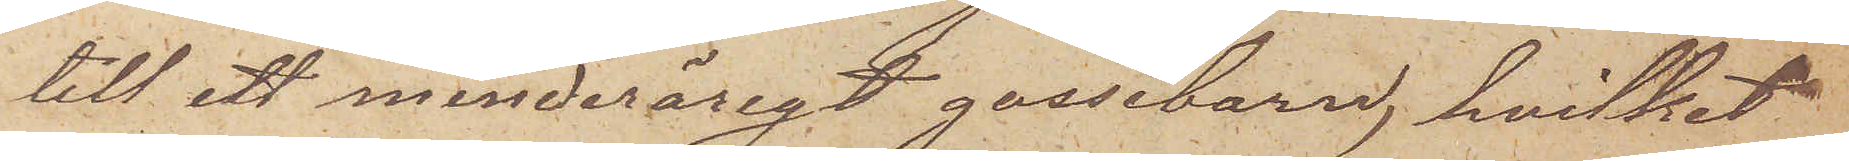till ett minderårigt gossebarn, hvilket
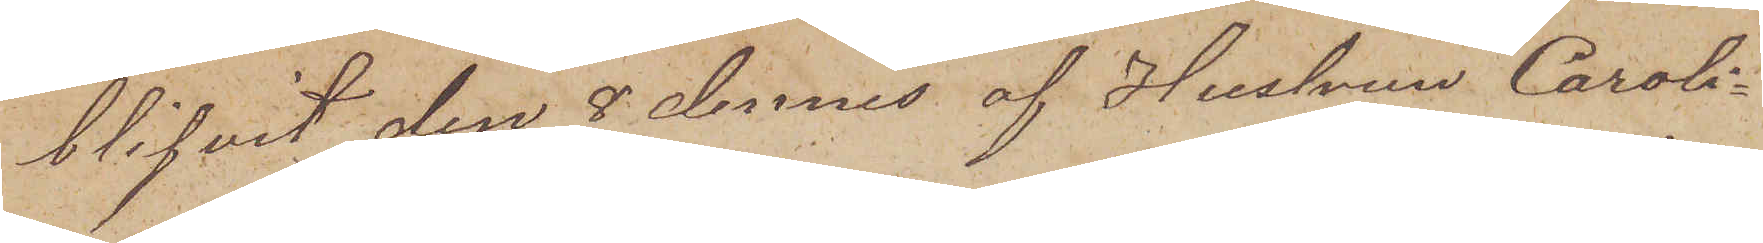blifvit den 8 dennes af Hustrun Caroli¬
